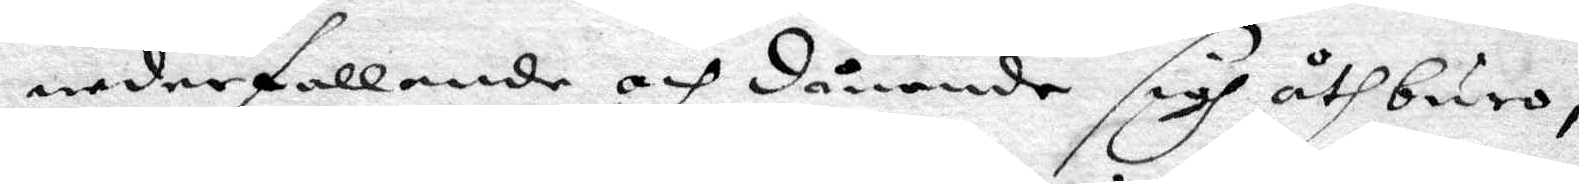nederfallande och dånande sigh åthburo
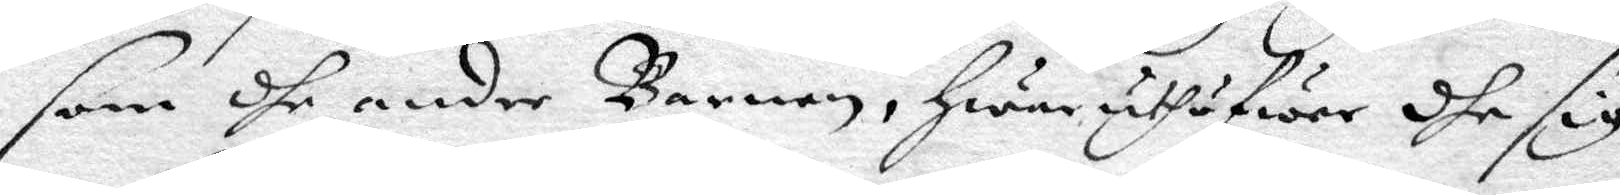som dhe andre barnen, hwar uthöfwer dhe sig
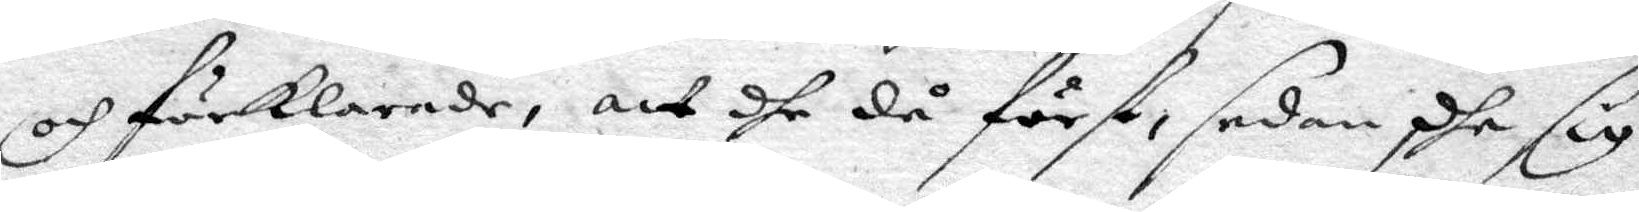och förklarade, att dhe då först sedan dhe sig
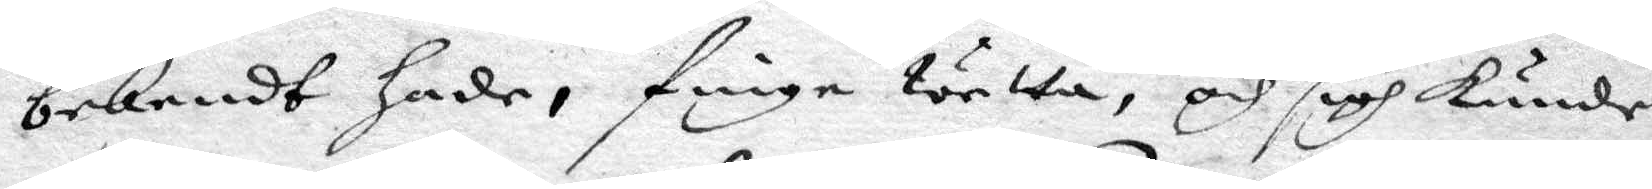bekendt hade, finge wetta, och sigh kunde
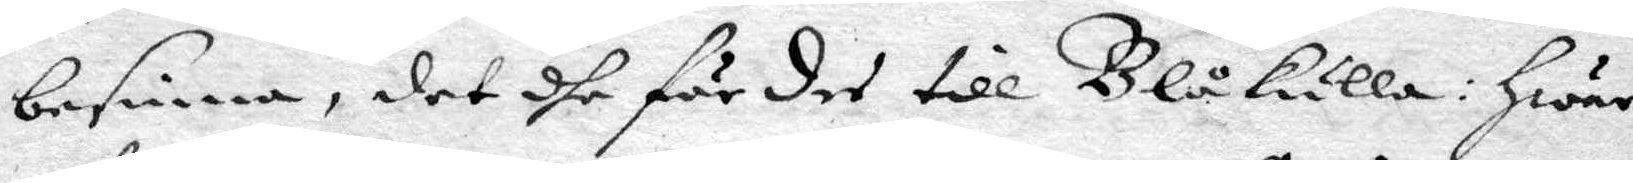besinna, det dhe fördes till Blåkulla: hwar
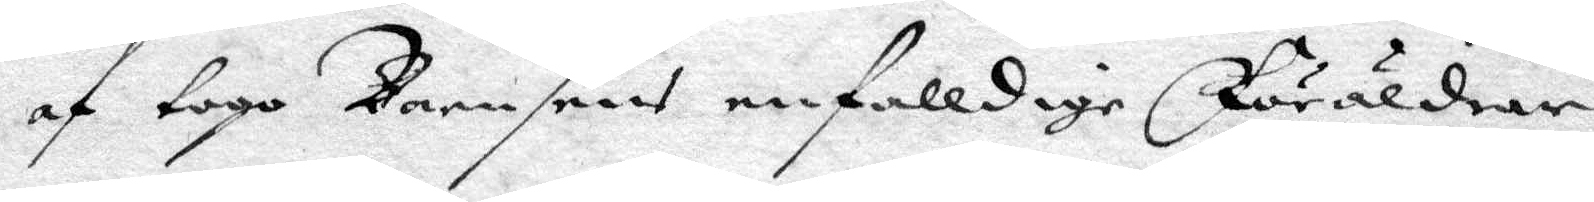af togo barnsens enfalldige Föräldrar
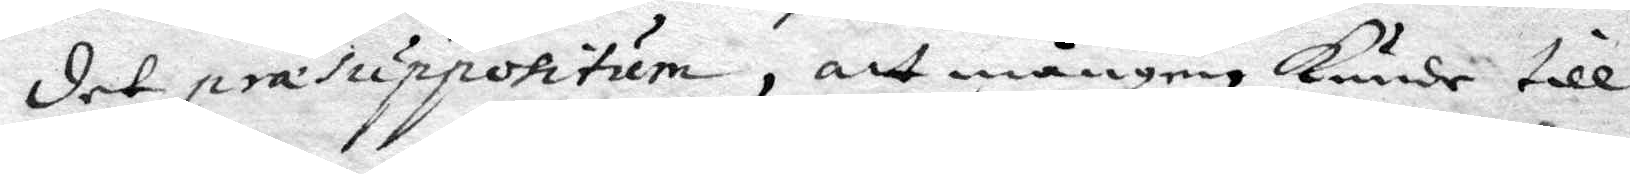det præsuppositum, att mången kunde till
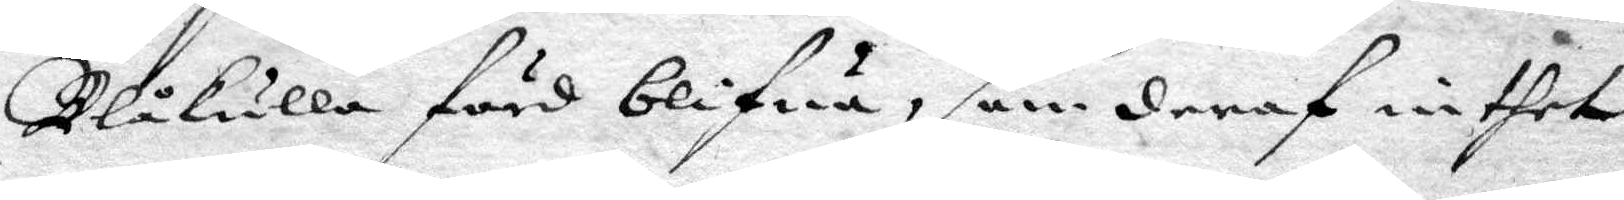Blåkulla förd blifwa, som deraf inthet
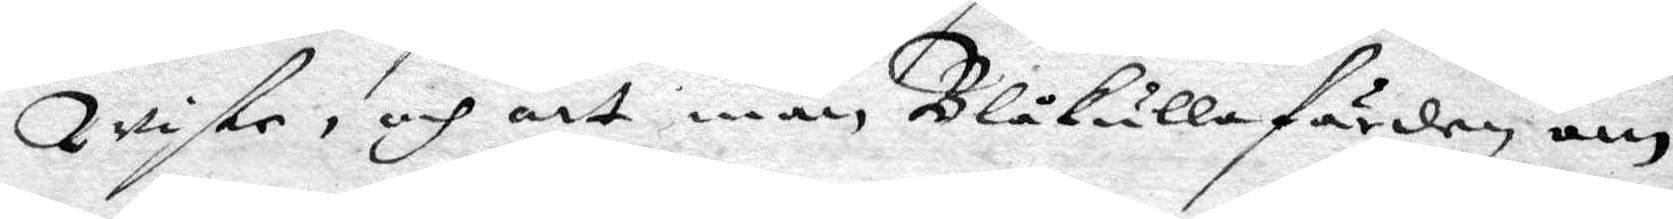wiste, och att man Blåkullafärden, om
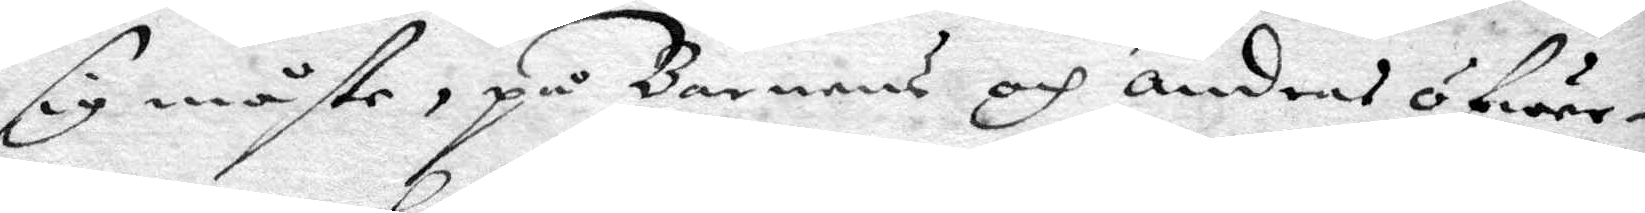sig måste, på Barnens och andras öfwer¬
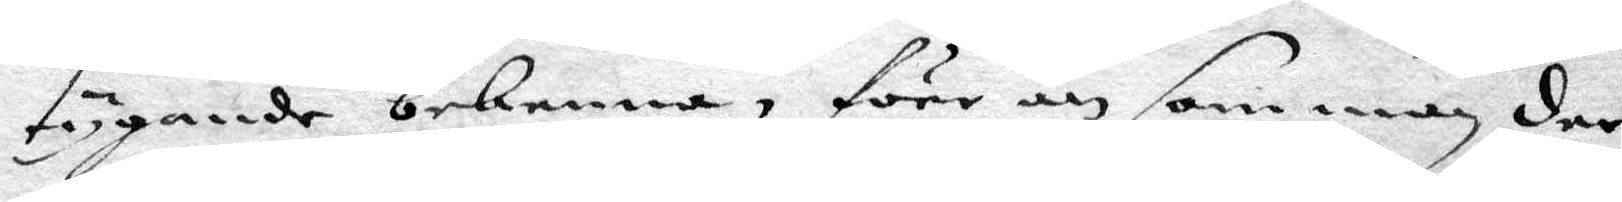tygande bekenna, förr än som man der
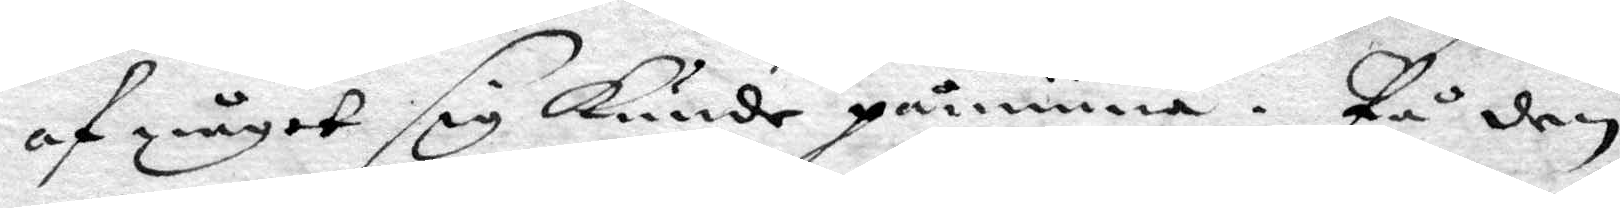af något sig kunde påminna. På den
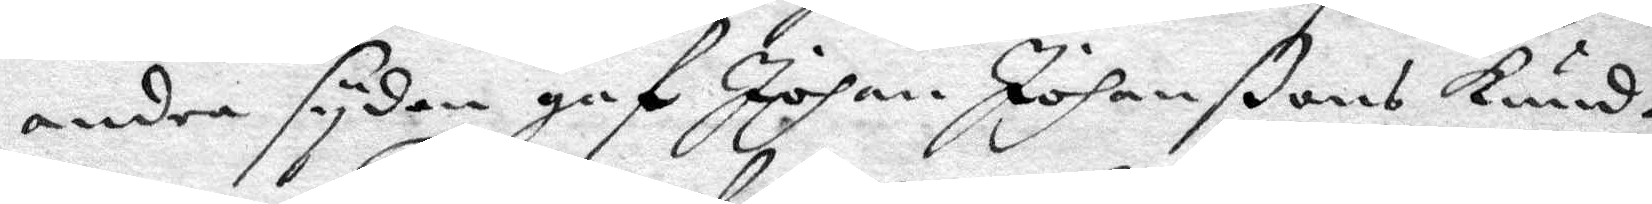andre sydan gaf Johan Johanßons kund¬
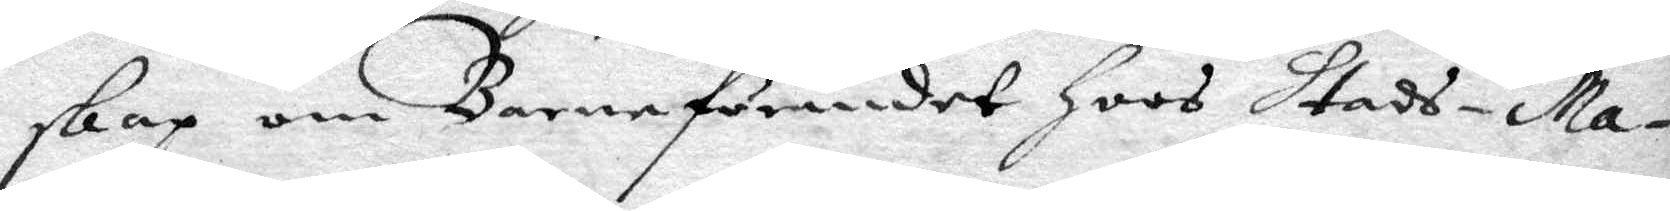skap om Barnaförandet hoos stads- ma¬
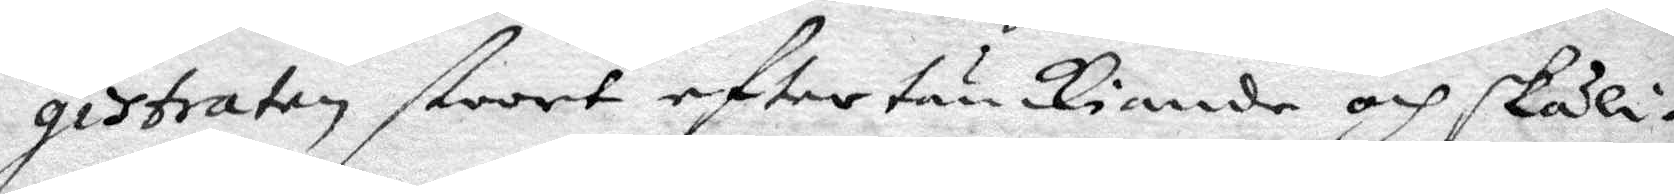gistraten stoort eftertänkiande och skäli¬
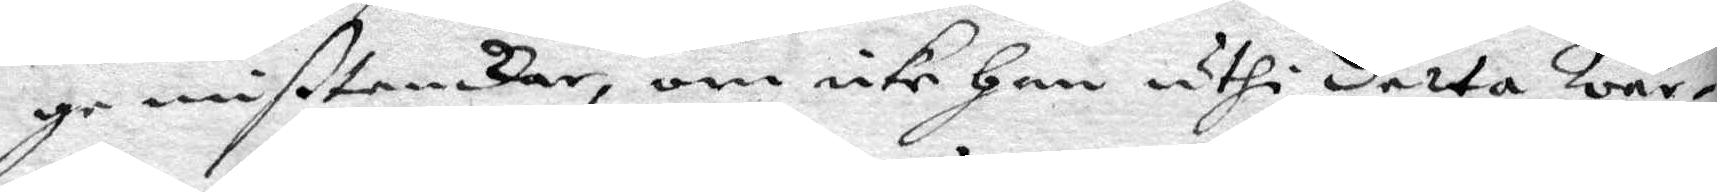ge mißtankar, om icke han uthi detta Wär¬
